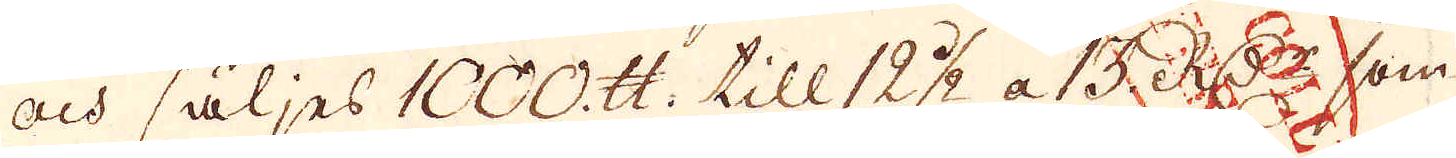och säljes 1000. skålpund till 12 1/2 a 15. R:Dr som
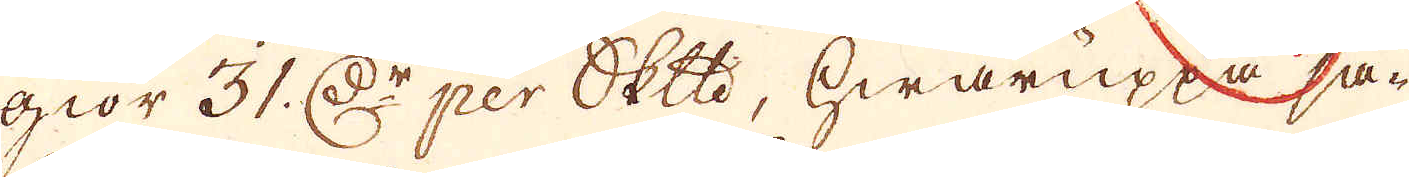giör 31. D:r per skeppund, hwaruppå så-
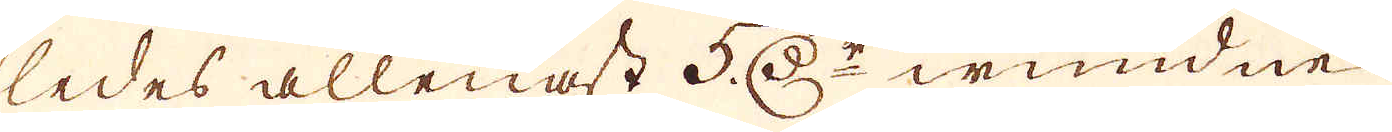ledes allenast 5 D:r wundne
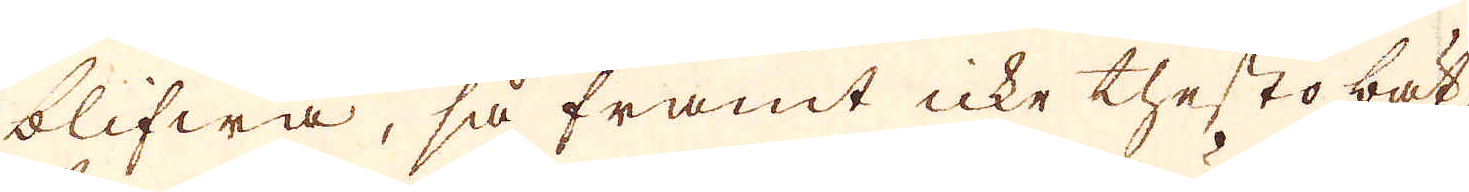blifwa, så framt icke thesto bät-
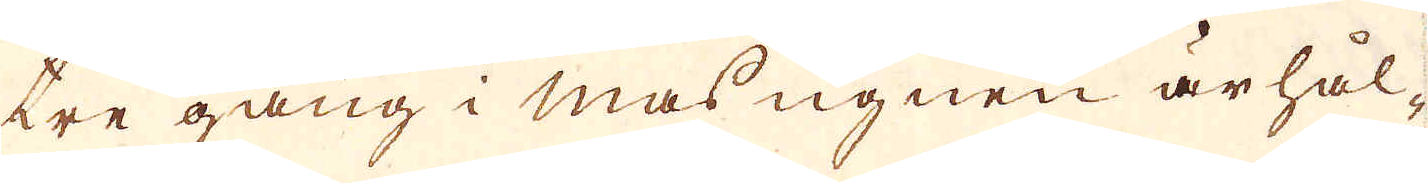tre gång i masugnen ärhål-
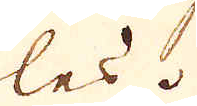les.
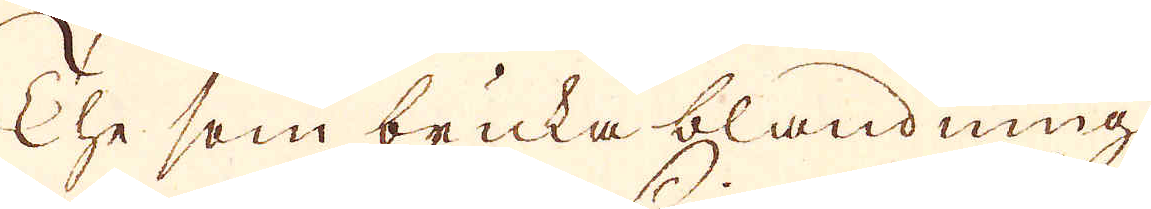The som bruka blandning
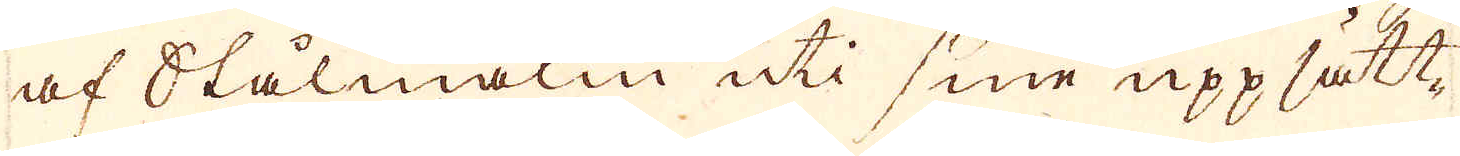af Stålmalm uti sine uppsätt-
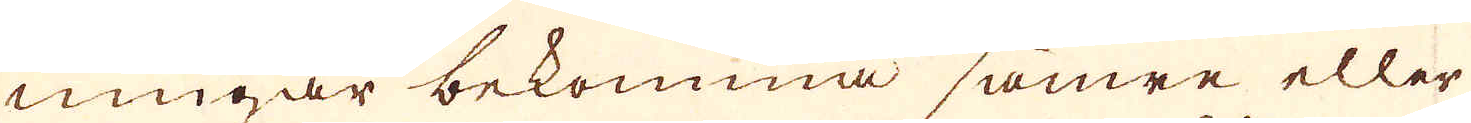ningar bekomma sämre eller
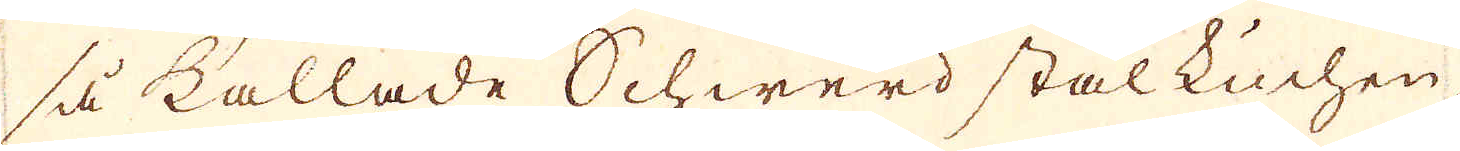så kallade Schwerd stål kuchen
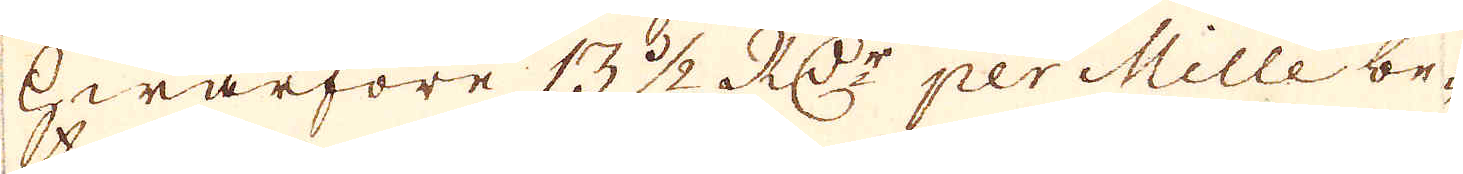Hwarföre 13 1/2 RD:r per Mille be-
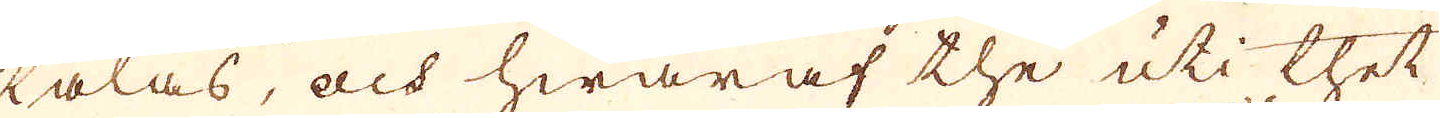talas, och hwaraf the uti thet
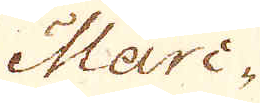Mari-
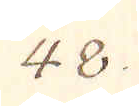48.
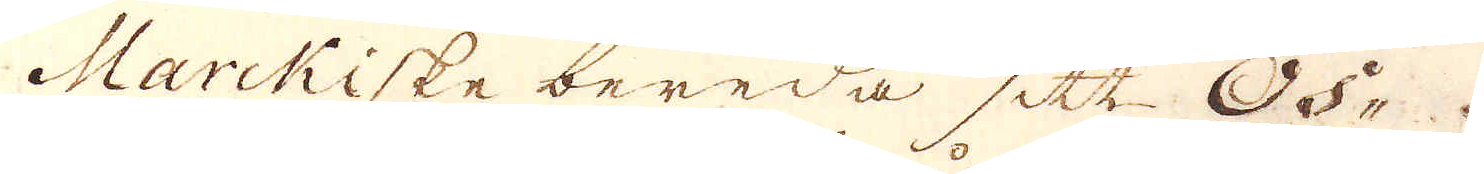Marckiske bereda sitt Os-
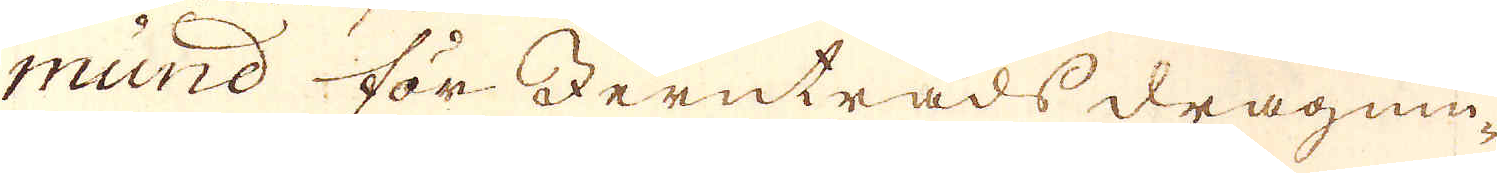mund för Jerntråds dragnin-
